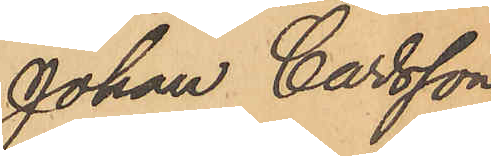Johan Carlsson
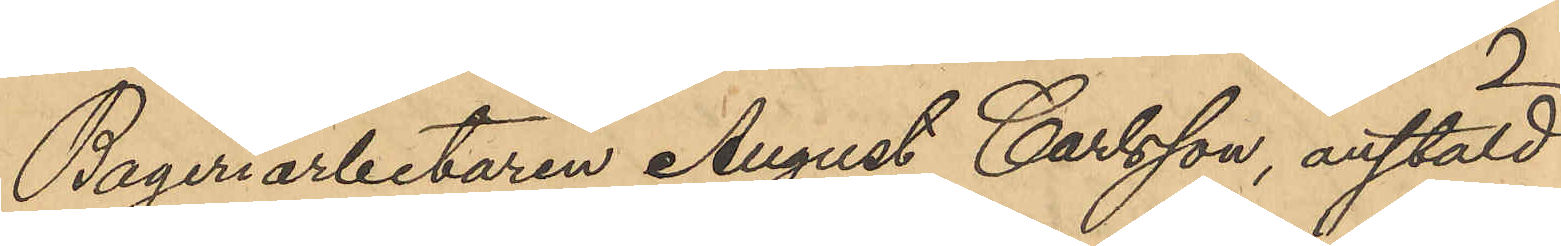Bageriarbetaren August Carlsson, anstäld
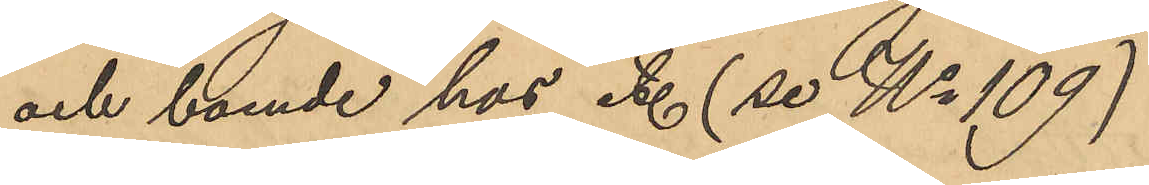och boende hos etc (se No 109)
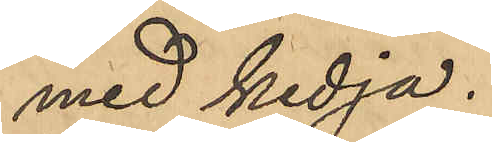med kedja.
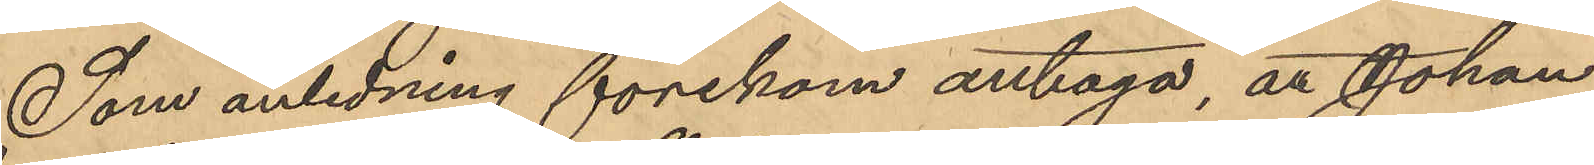Som anledning förekom antaga, att Johan
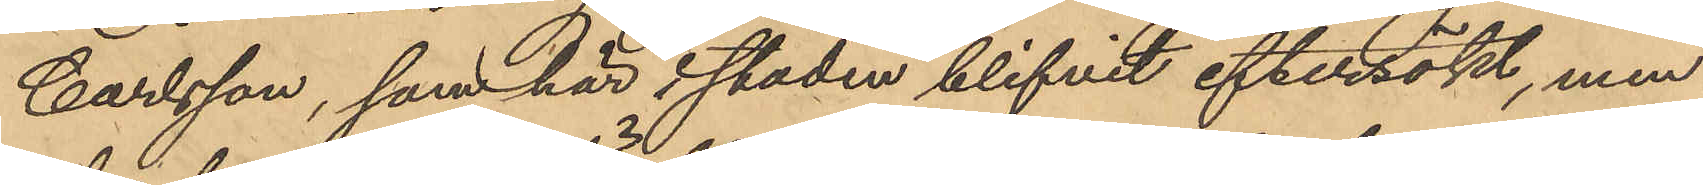Carlsson, som här i staden blifvit eftersökt, men
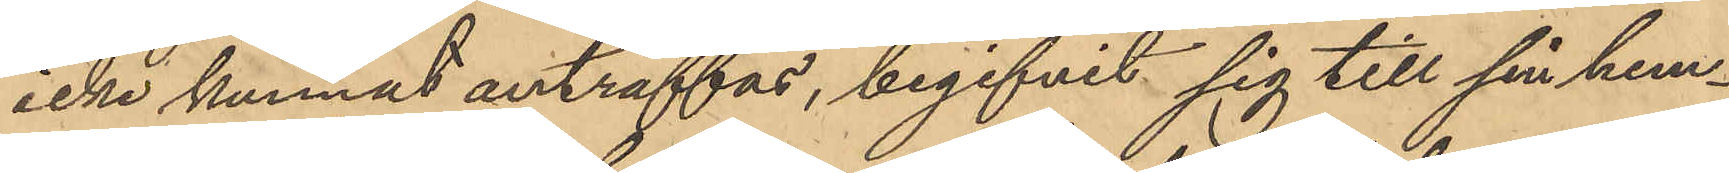icke kunnat anträffas, begifvit sig till sin hem¬
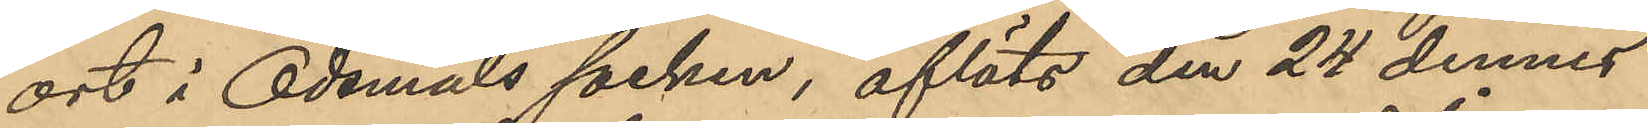ort i Ödsmåls socken, afläts den 24 dennes
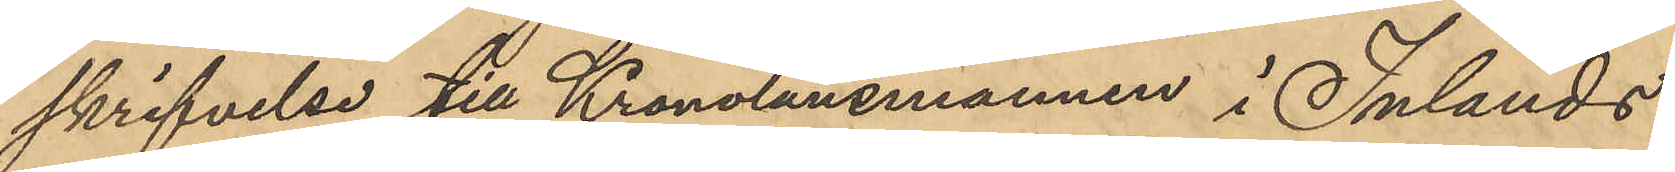skrifvelse till Kronolänsmannen i Inlands
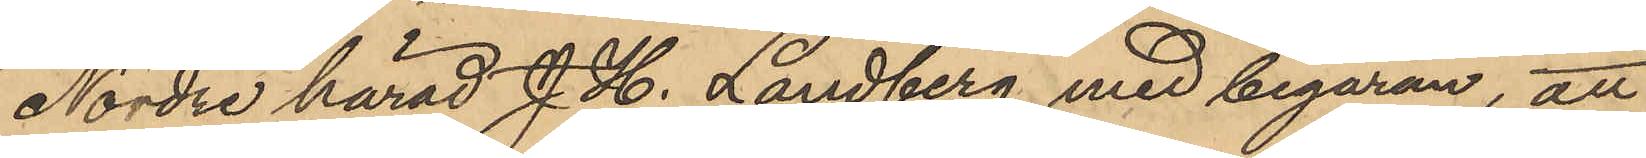Nordre härad J. H. Landberg med begäran, att
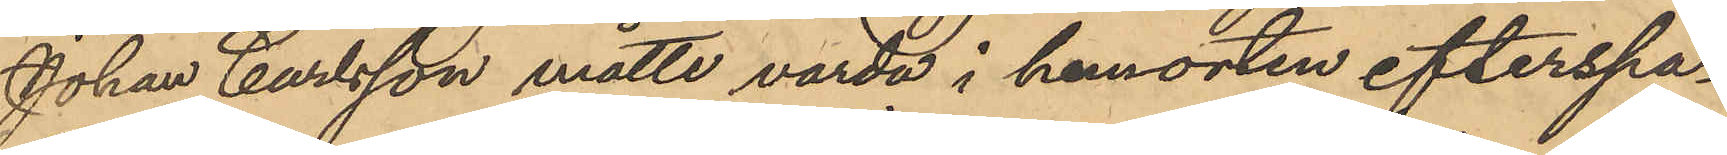Johan Carlsson måtte varda i hemorten efterspa¬
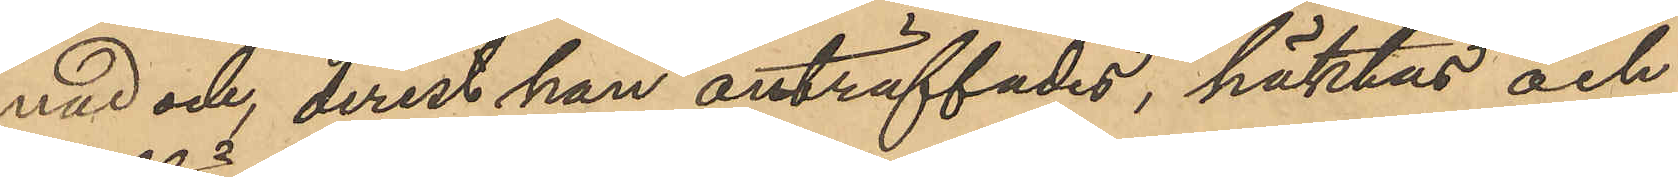nad och, derest han anträffades, häktas och
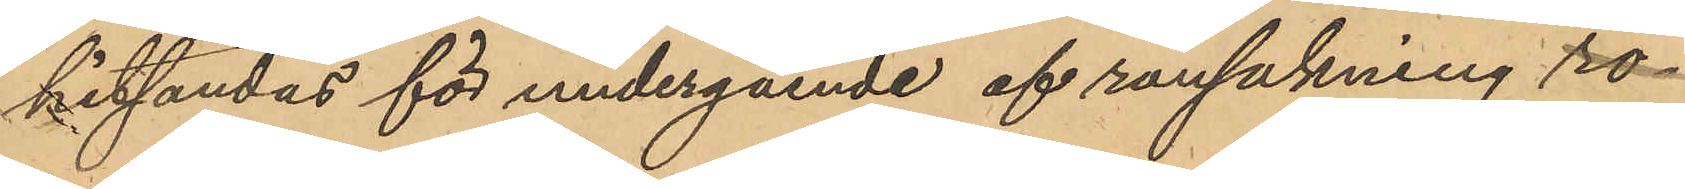hitsändas för undergående af rannsakning rö¬
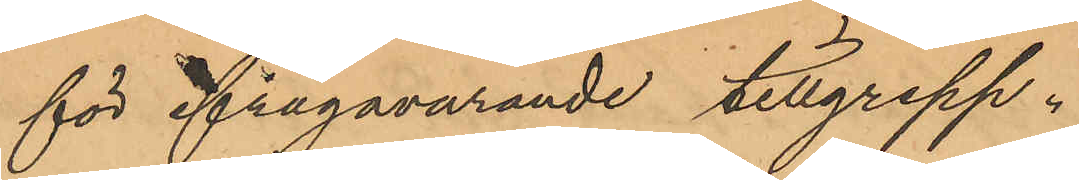för ifrågavarande tillgrepp.
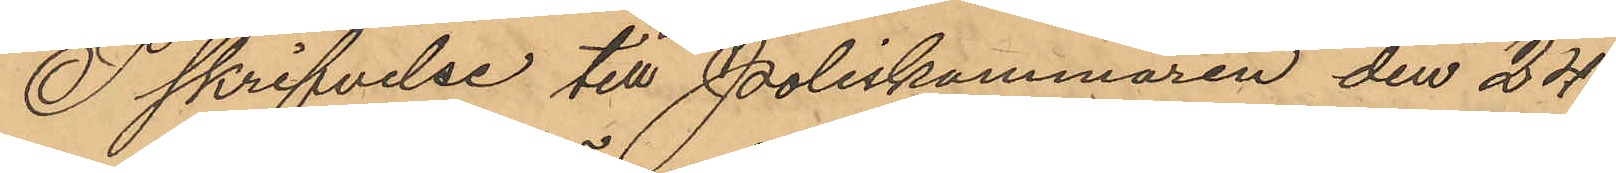I skrifvelse till Poliskammaren den 24
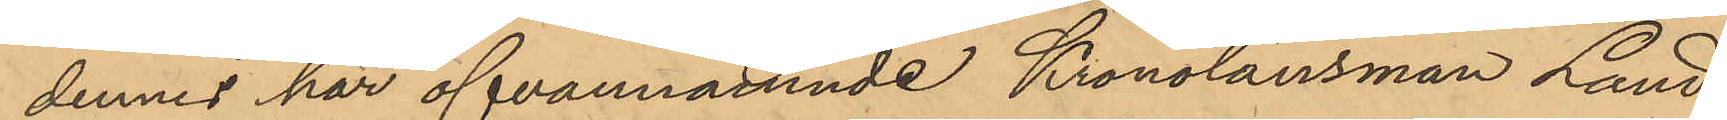dennes har ofvannämnde Kronolänsman Land¬
